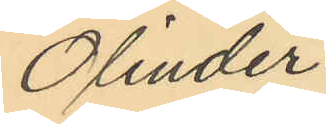Olinder
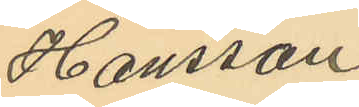Hansson
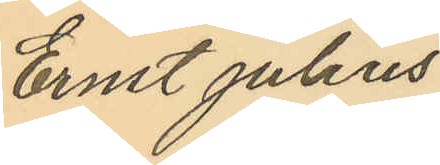Ernst julius
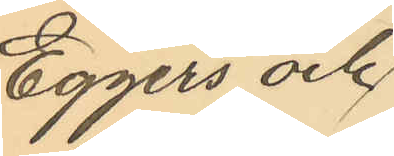Eggers och
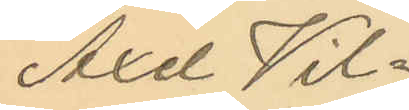Axel Wil¬
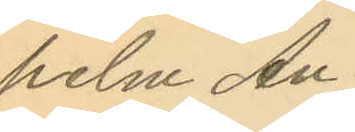helm An¬
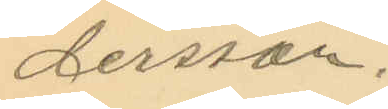dersson.
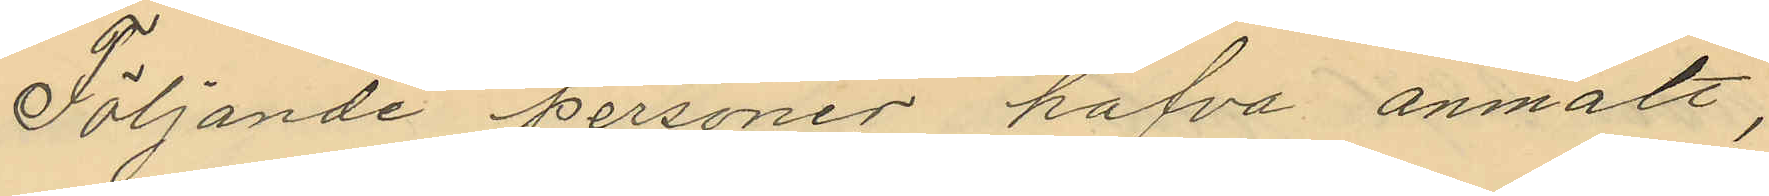Följande personer hafva anmält,
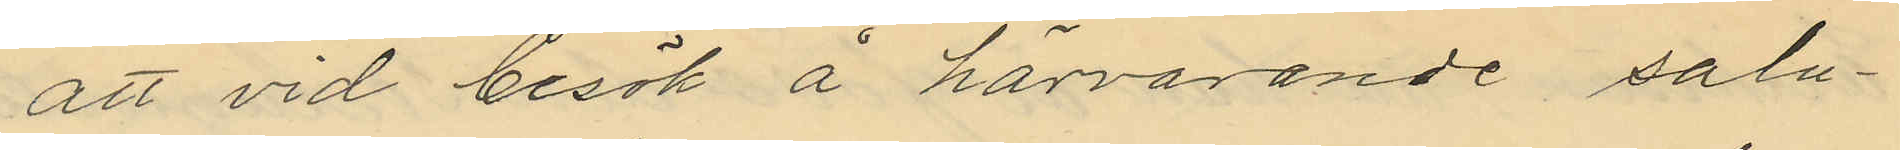att vid besök å härvarande salu¬
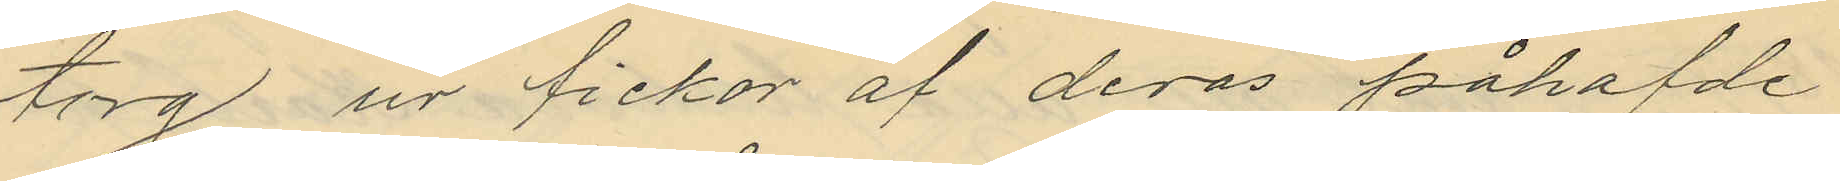torg ur fickor af deras påhafde
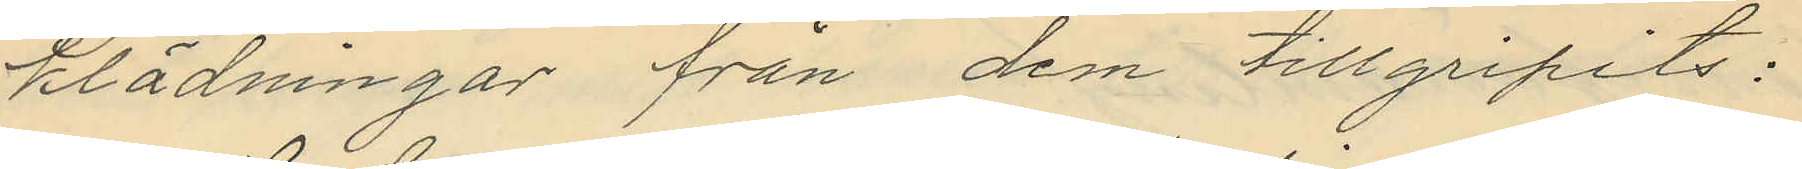klädningar från dem tillgripits:
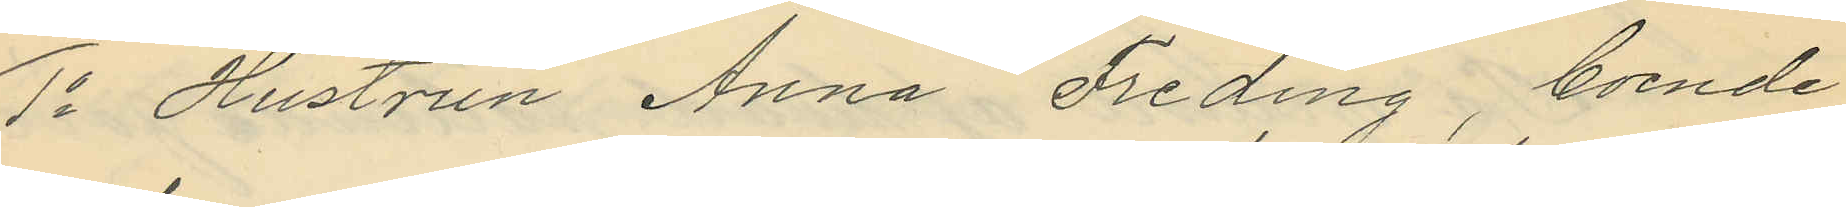1o Hustrun Anna Freding, boende
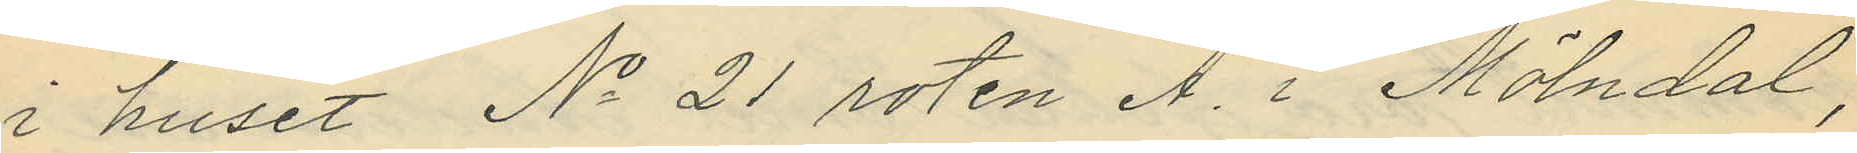i huset No 21 roten A. i Mölndal,
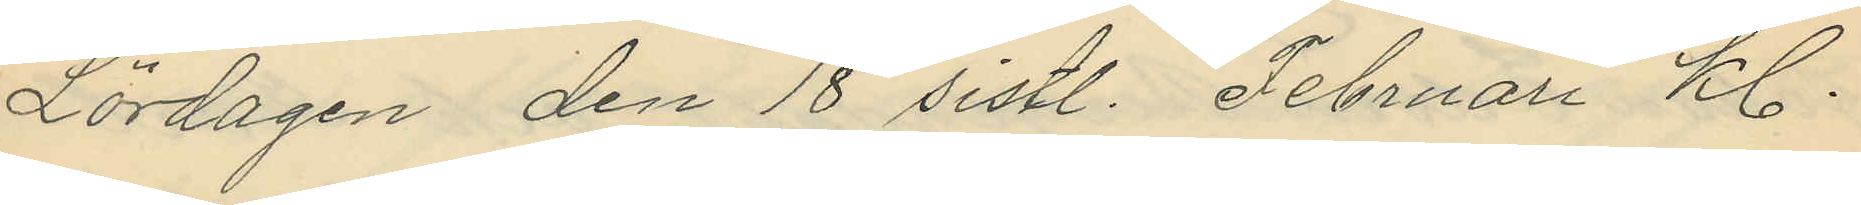Lördagen den 18 sistl. Februari kl.
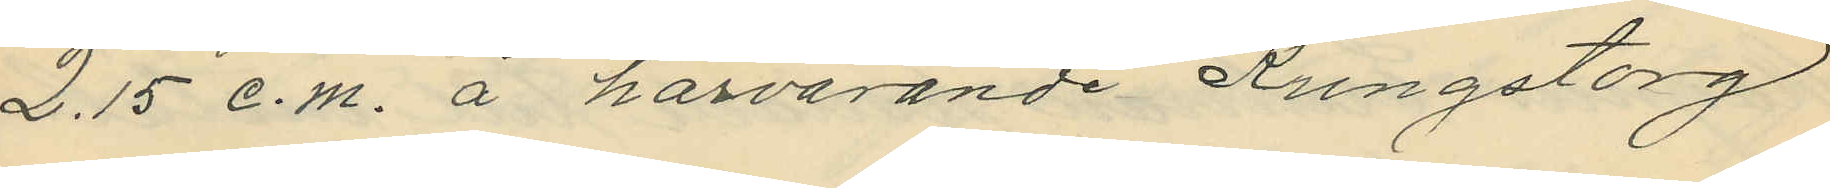2.15 e.m. å härvarande Kungstorg
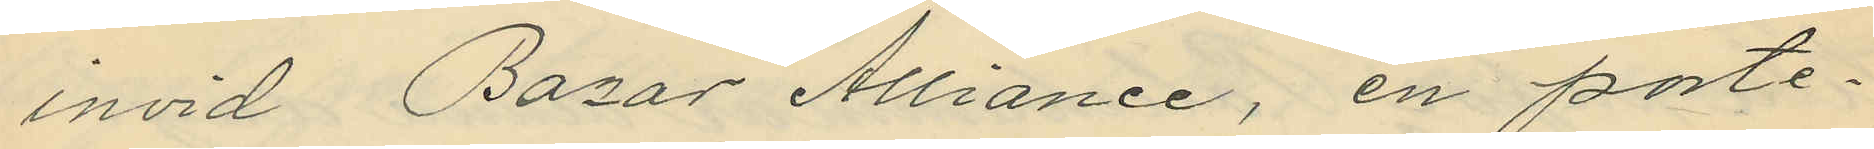invid Bazar Alliance, en porte¬
